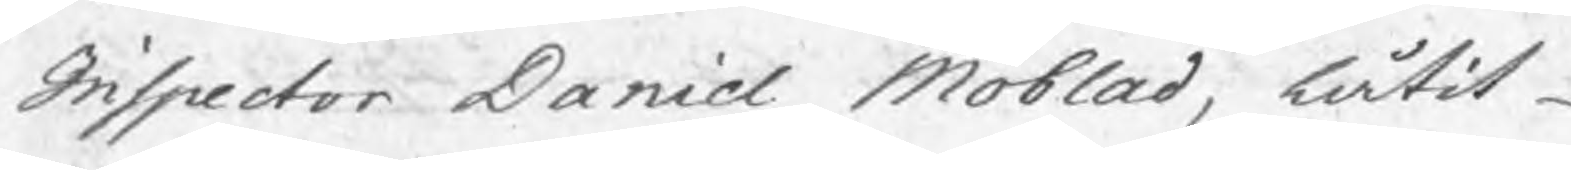Inspector Daniel Moblad, låtit
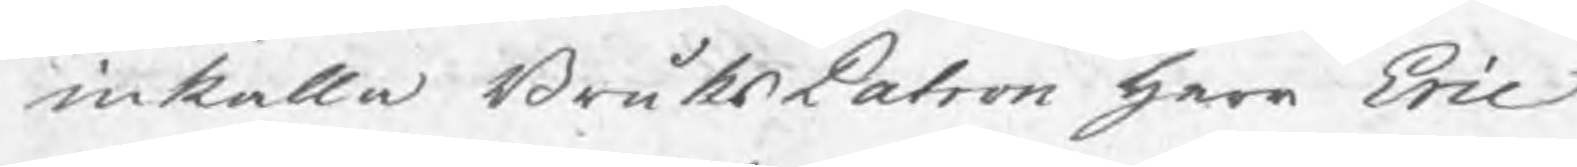inkalla BruksPatron herr Eric
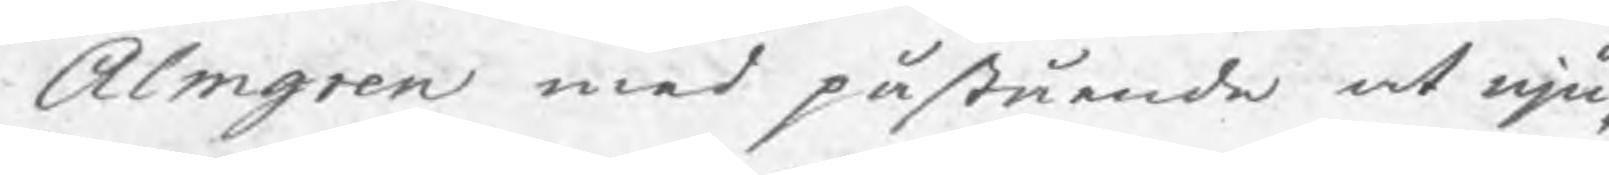Almgren med påstående at nju¬
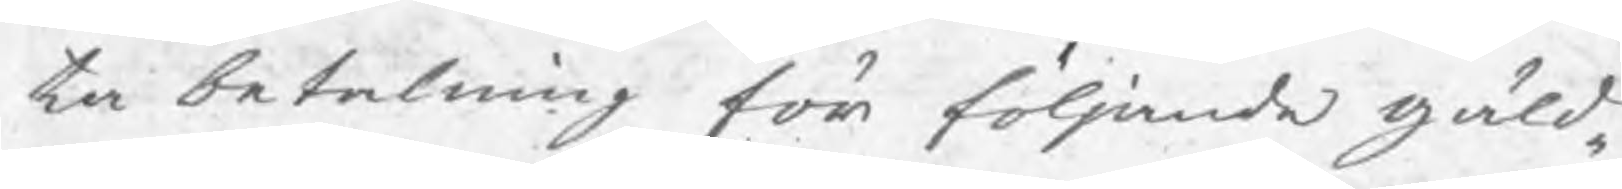ta betalning för följande gäld¬
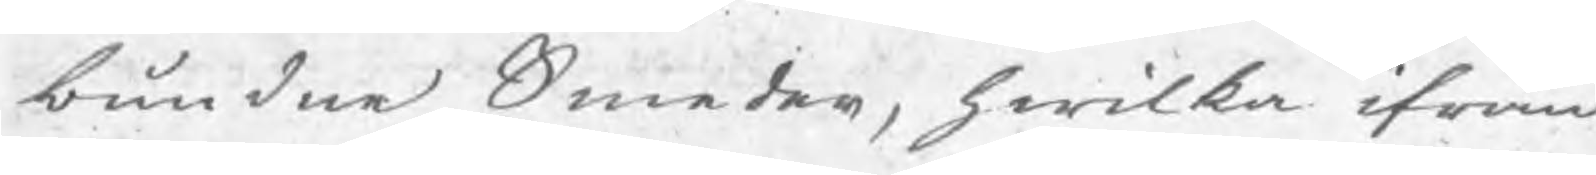bundne Smeder, hwilka ifrån
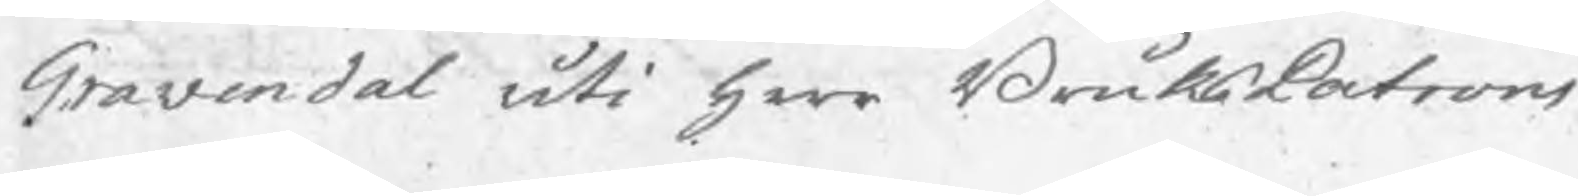Gravendal uti herr BruksPatrons
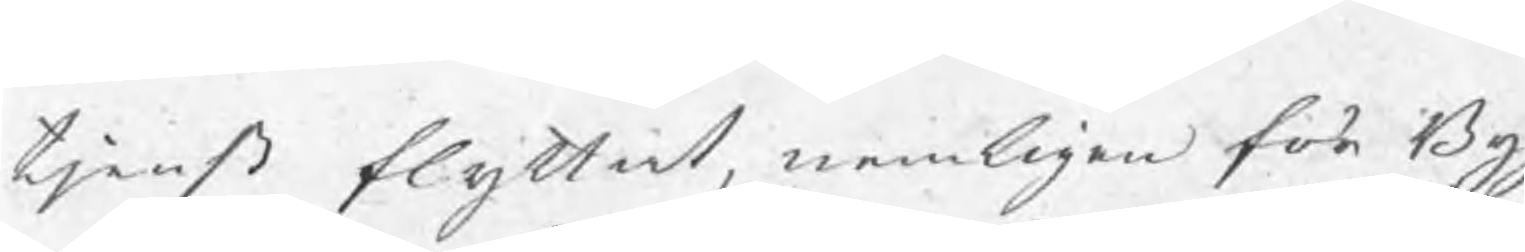tjenst flyttat, nemligen för Bygg¬
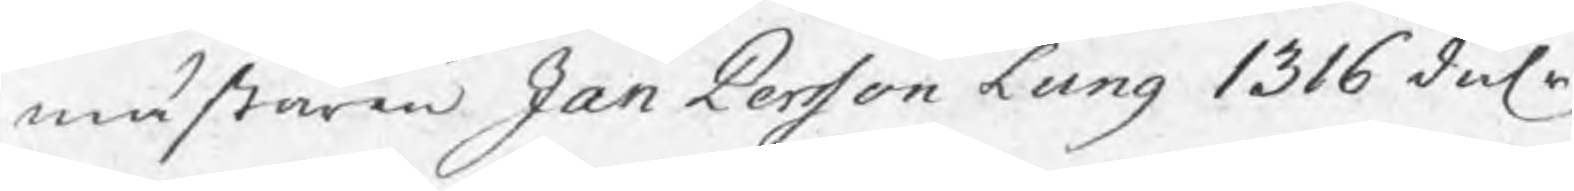mästaren Jan Persson Lung 1316 dalr
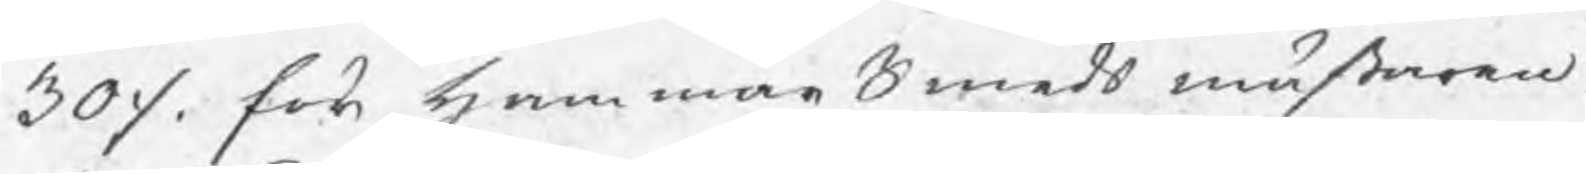30 ./. för hammarSmeds mästaren
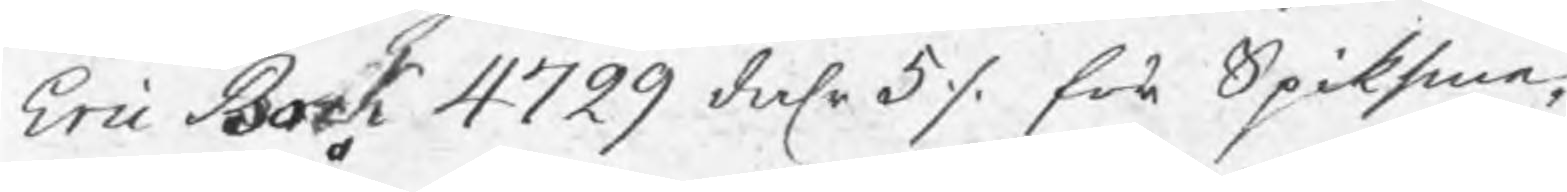Eric Bock 4799 dalr 5 ./. för Spiksme¬
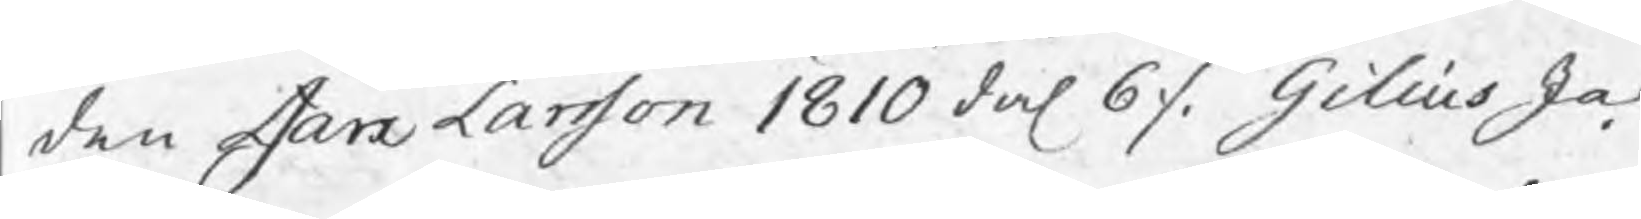den Jan Larsson 1810 dal 6 ./: Gilius Ja¬
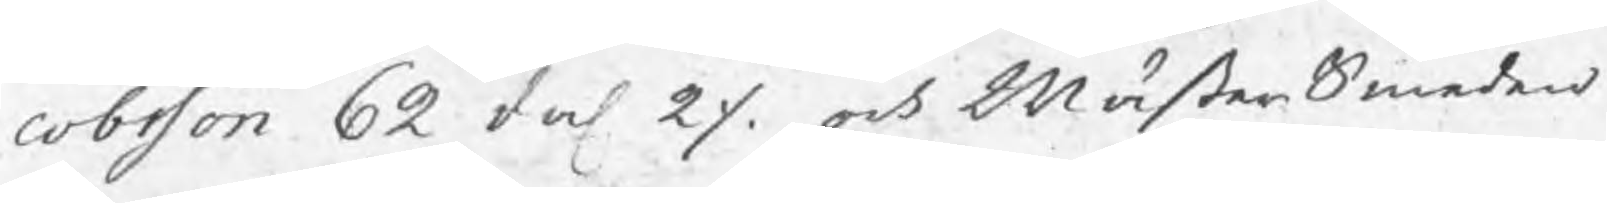cobsson 62 dal 2 ./. och MästerSmeden
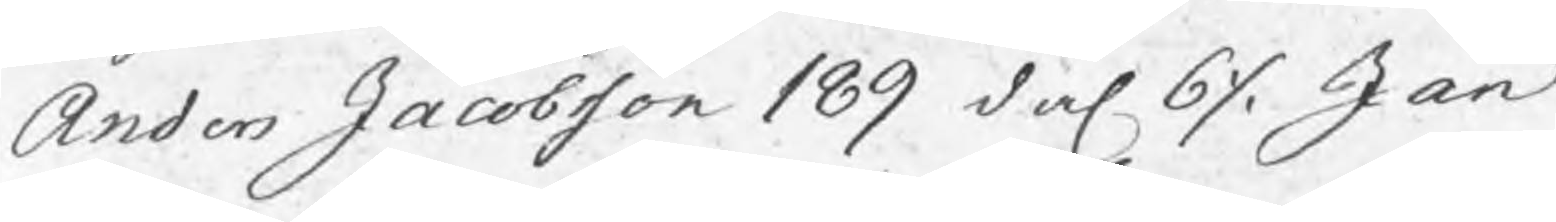Anders Jacobsson 189 dal 6 ./. Jan
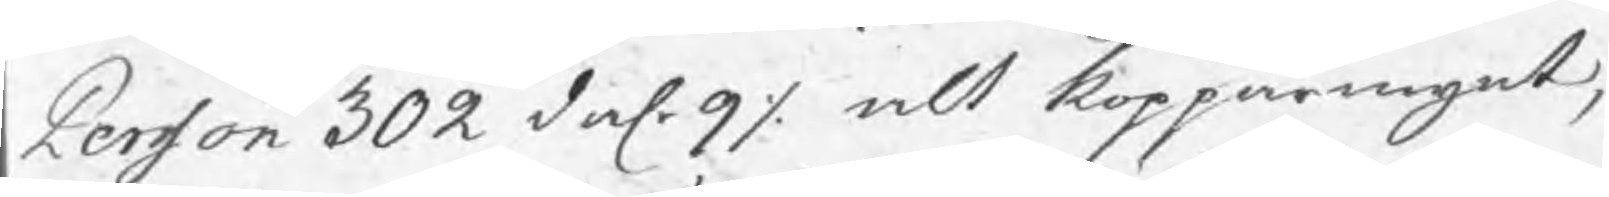Persson 302 dal. 9 ./. alt kopparmynt,
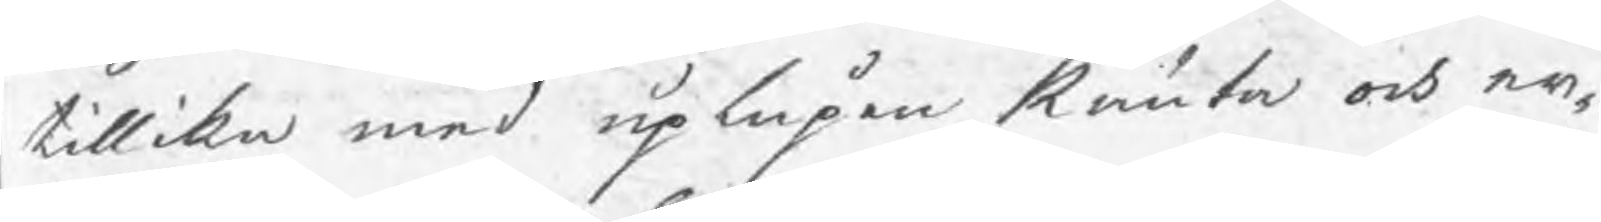tillika med uplupen Ränta och er¬
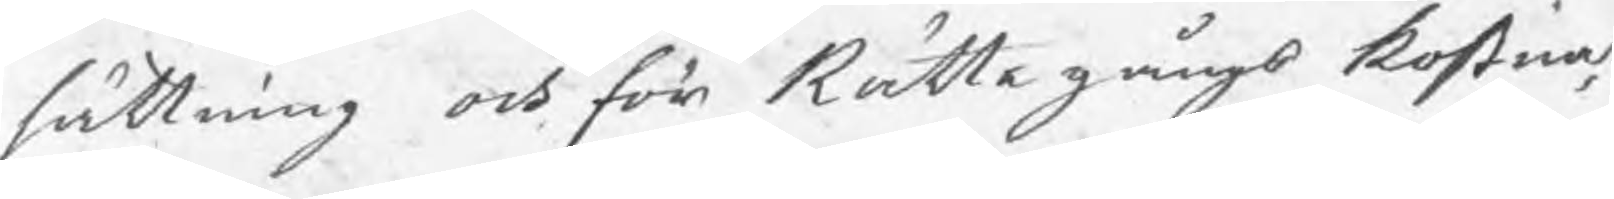sättning och för Rättegångs kostna¬
